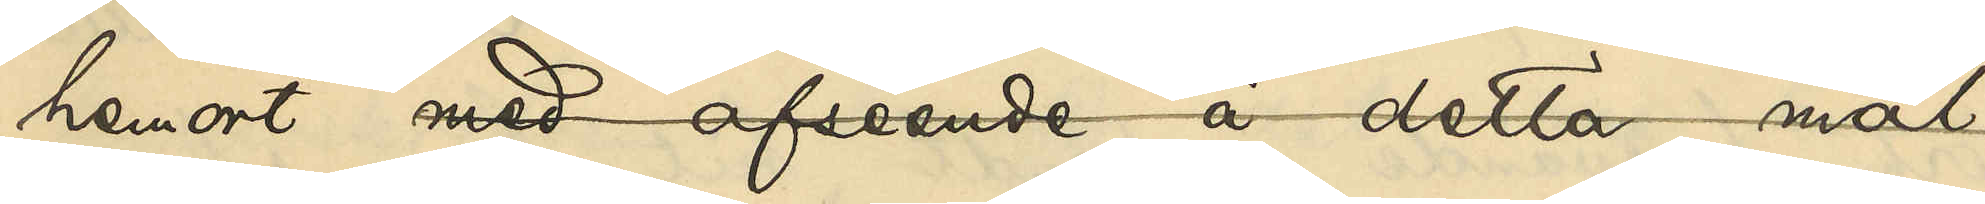hemort med afseende å detta mål
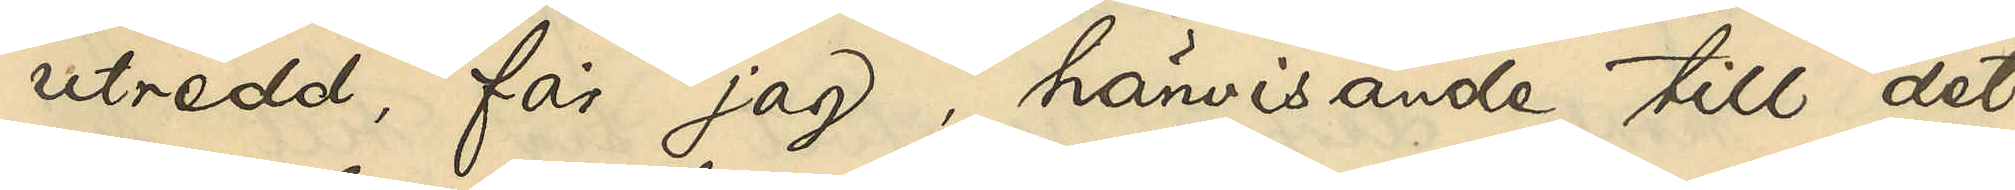utredd, får jag, hänvisande till det
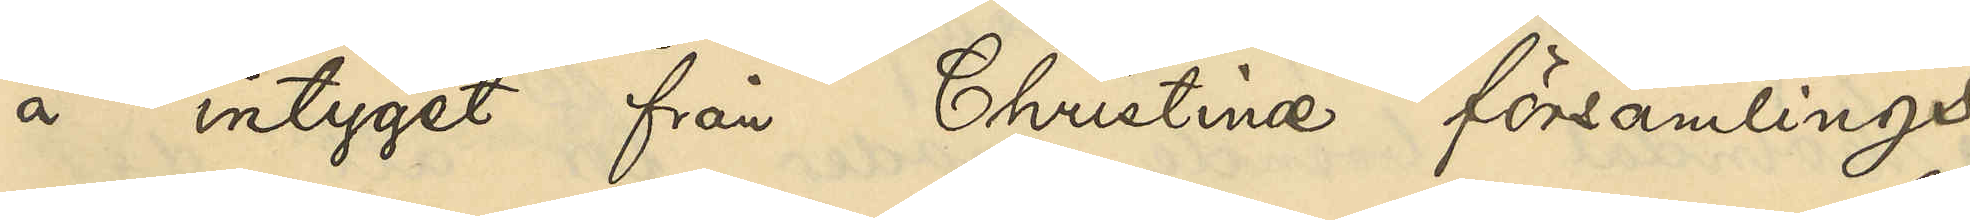å intyget från Christinæ församlings
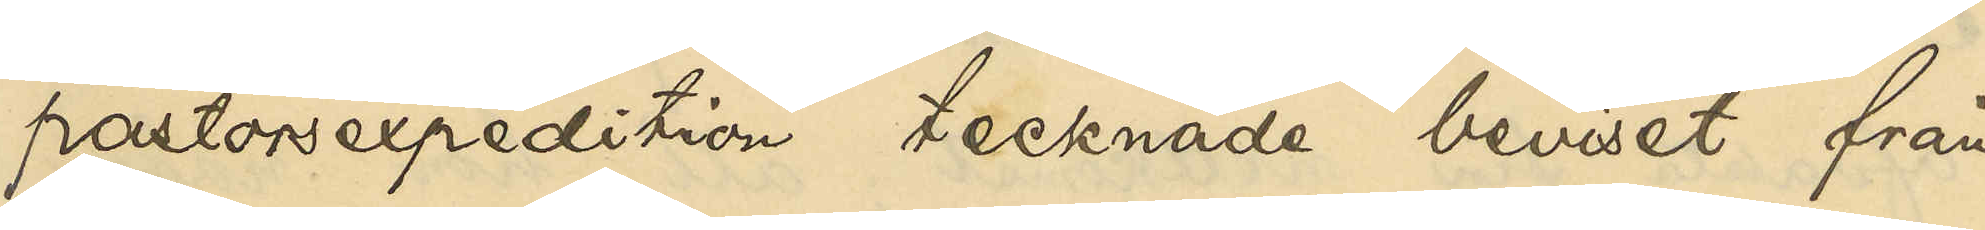pastorsexpedition tecknade beviset från
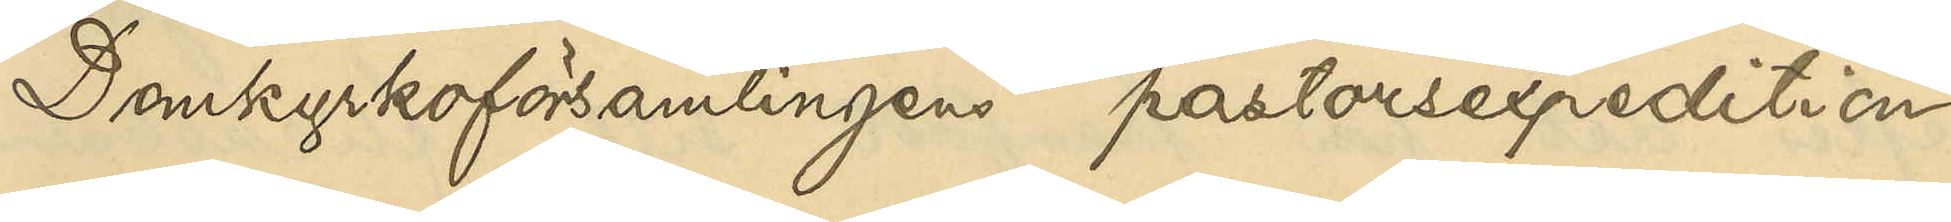Domkyrkoförsamlingens pastorsexpedition,
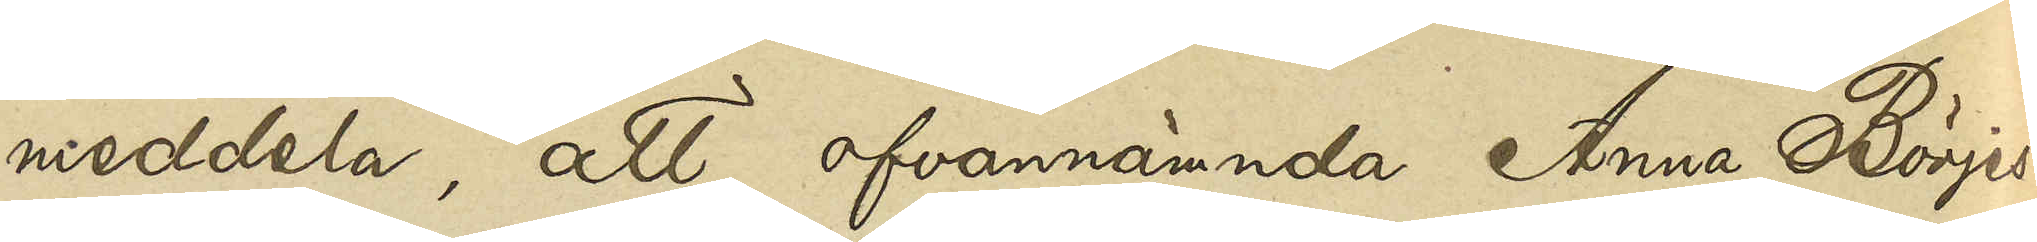meddela, att ofvannämnda Anna Börjes¬
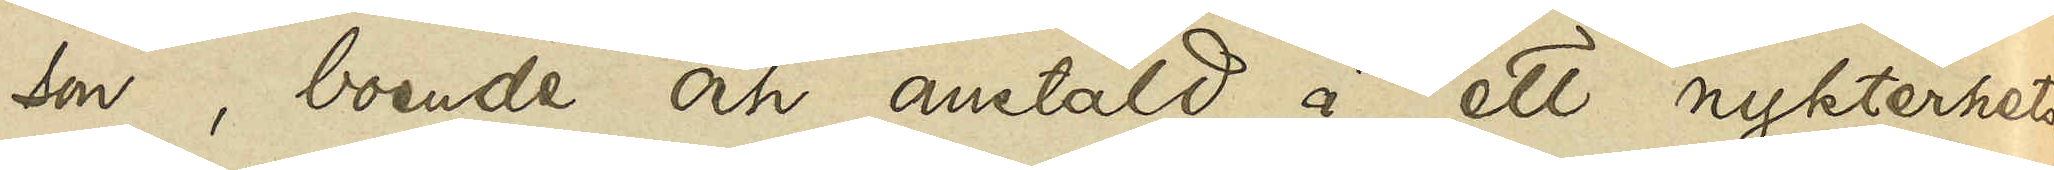son, boende och anstäld å ett nykterhets¬
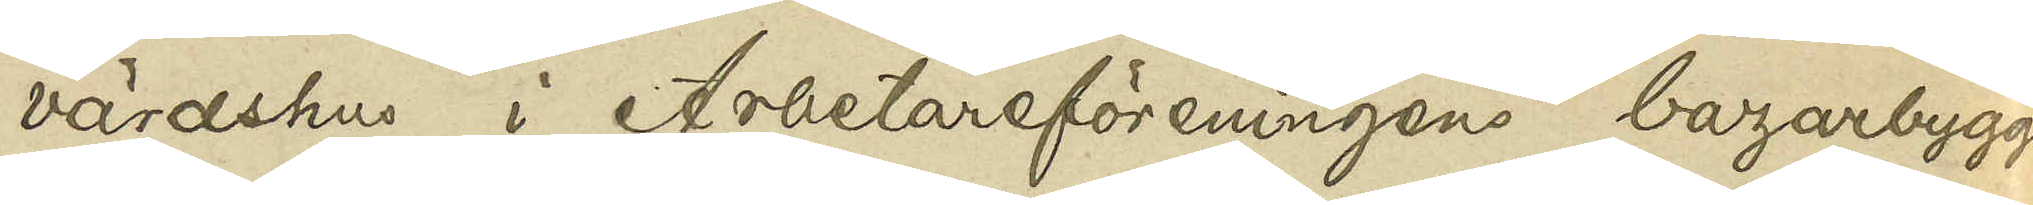värdshus i Arbetareföreningens bazarbygg¬
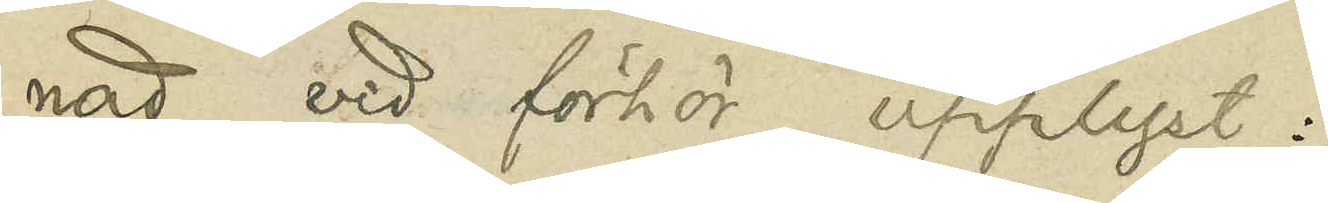nad, vid förhör upplyst:
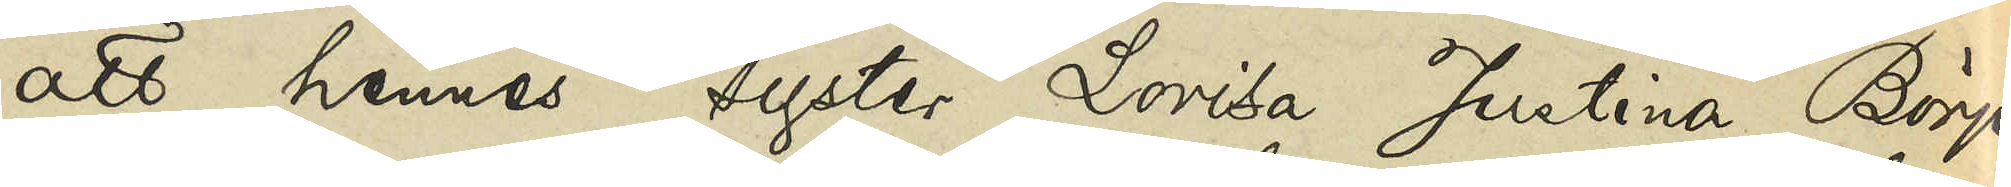att hennes syster Lovisa Justina Börjes¬
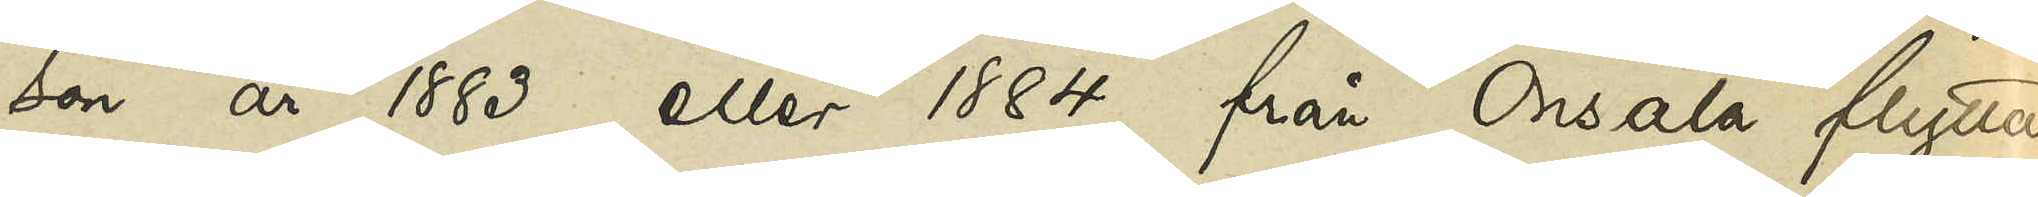son år 1883 eller 1884 från Onsala flyttat
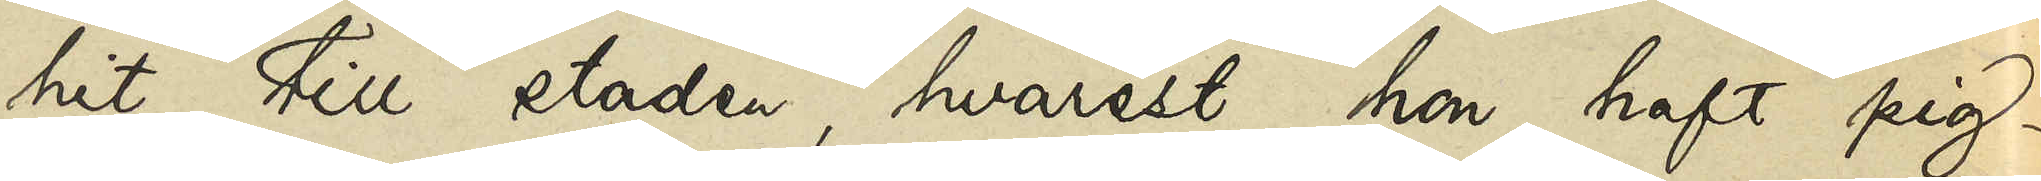hit till staden, hvarest hon haft pig¬
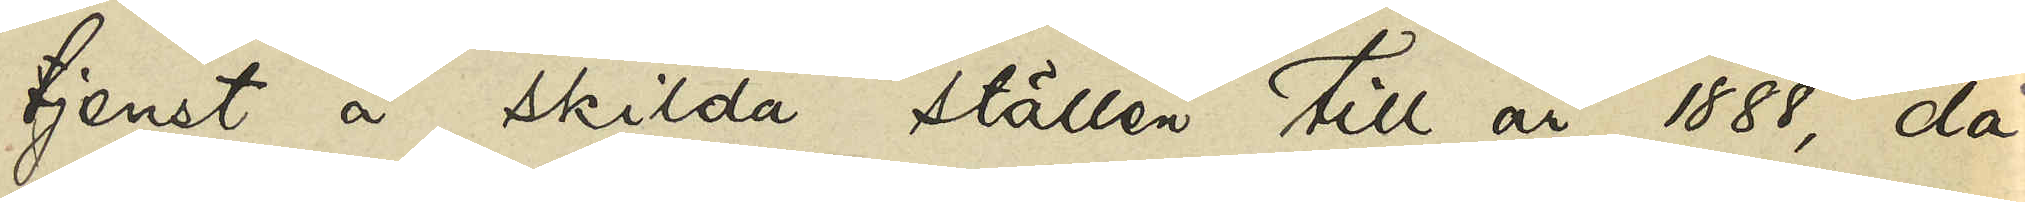tjenst å skilda ställen till år 1888, då
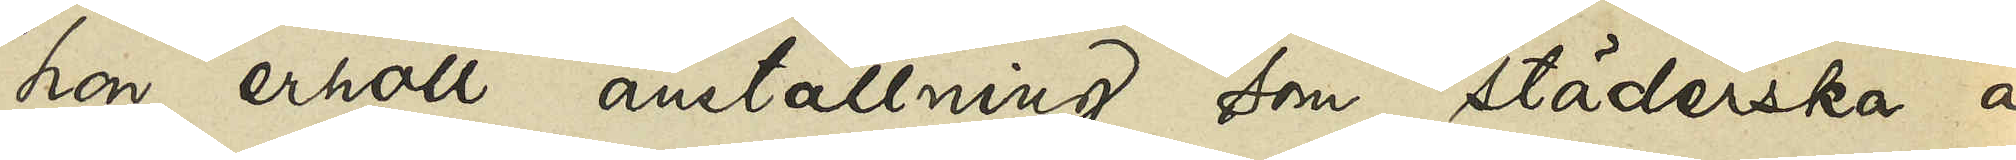hon erhöll anställning som städerska å
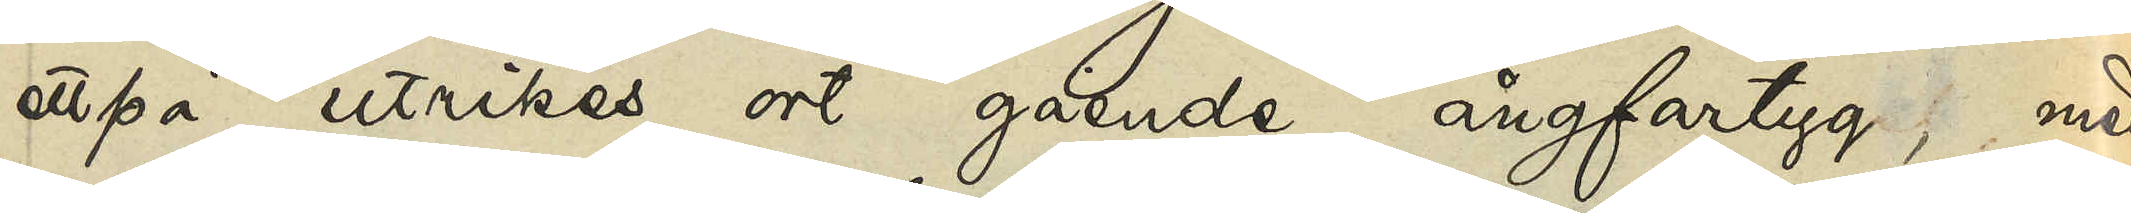ett på utrikes ort gående ångfartyg, med
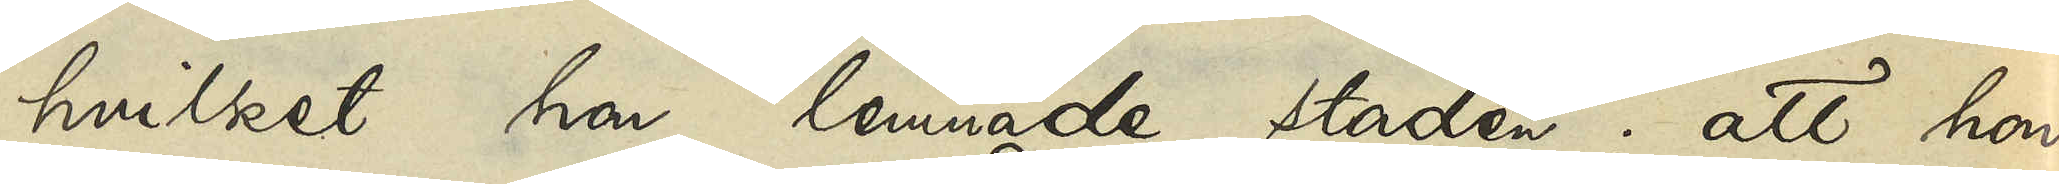hvilket hon lemnade staden; att hon
